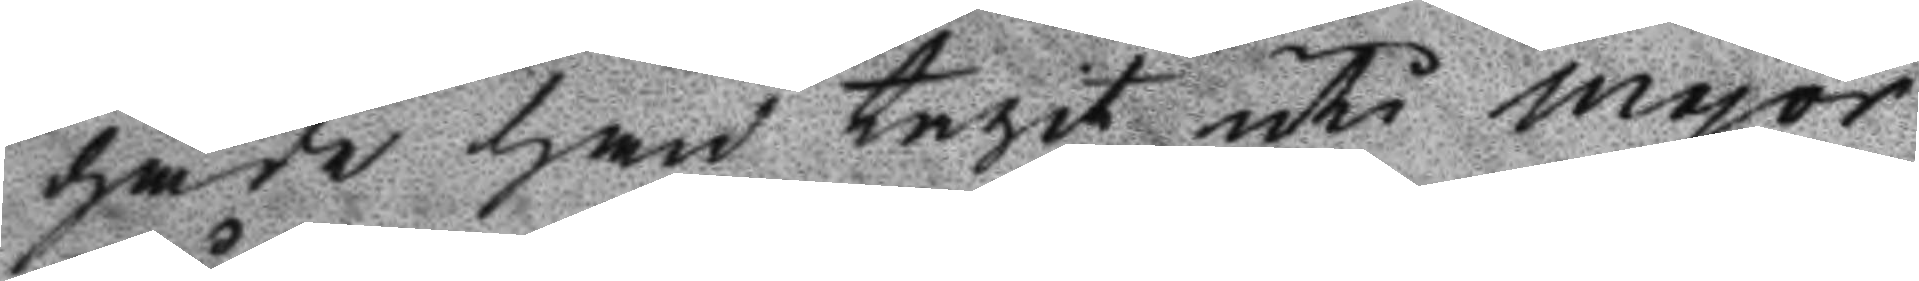hade han tagit uti major
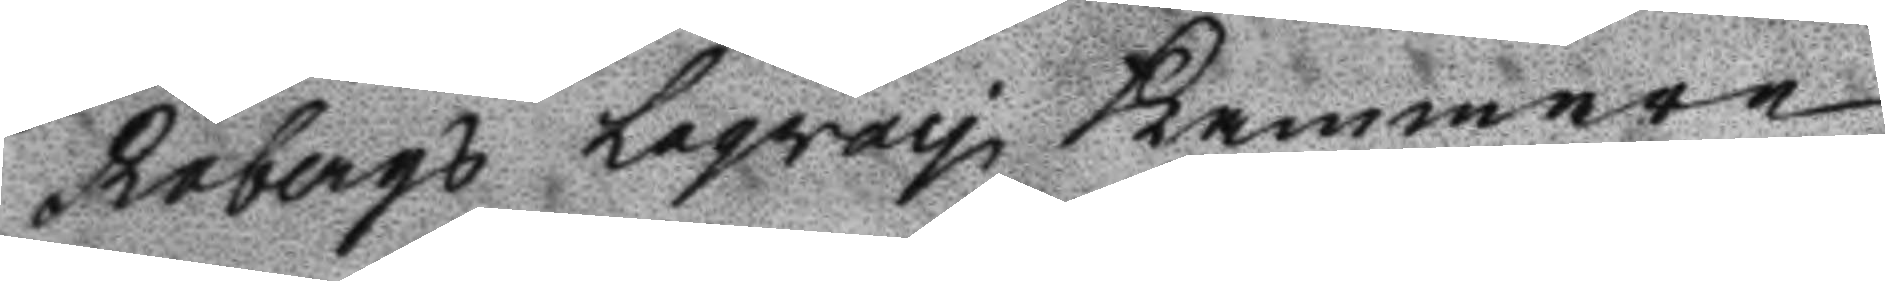Råbergs Laqray Kammare
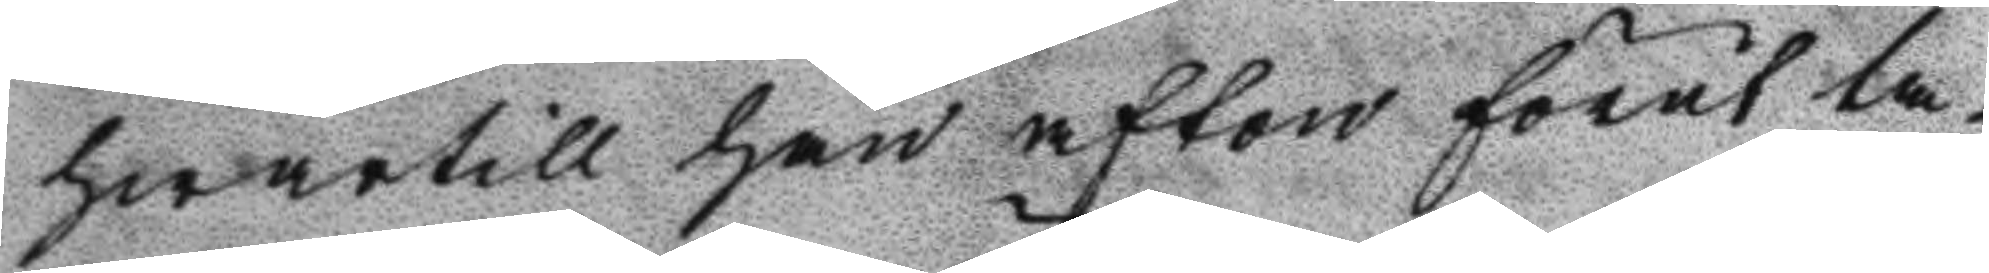hwartill han afton förut ta¬
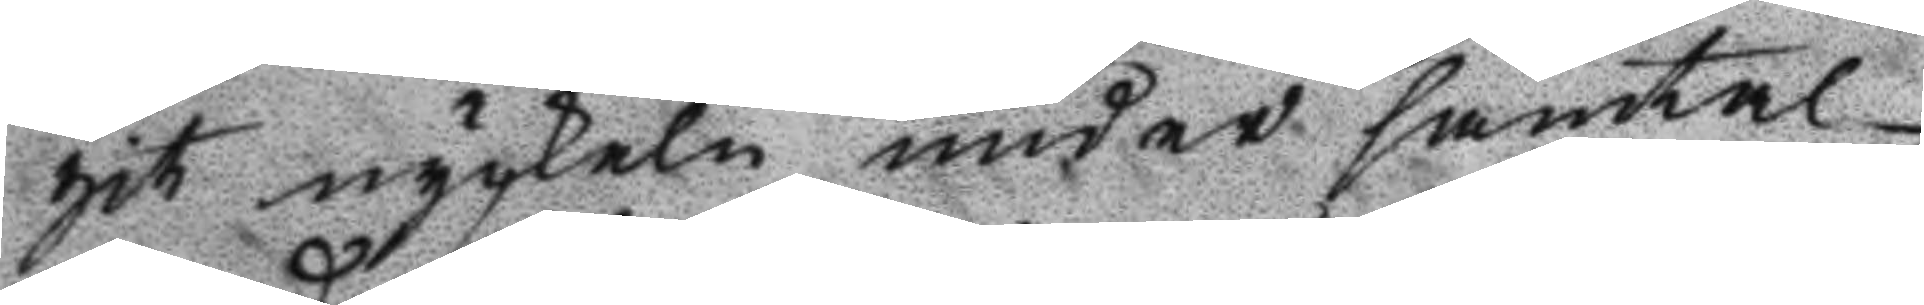git nyckeln under samtal
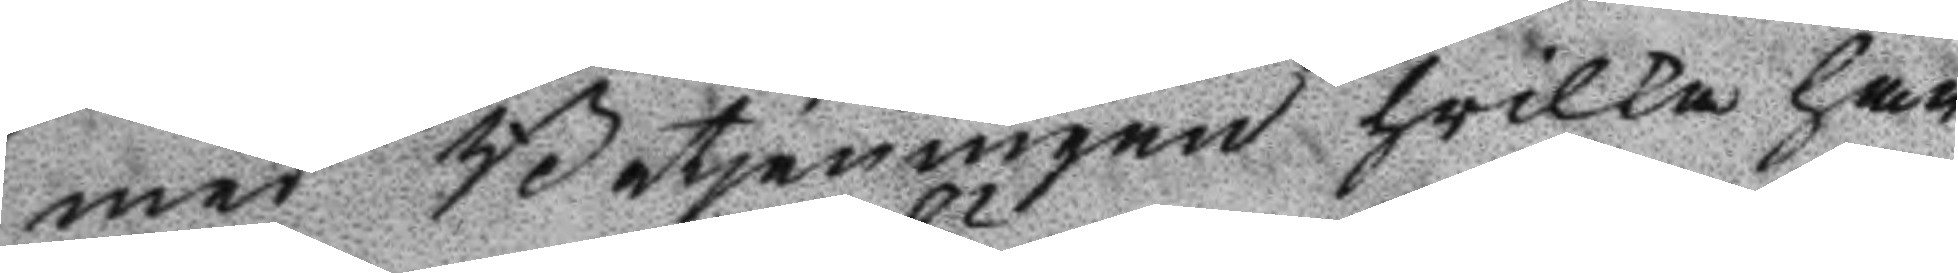med Betjeningen hvilka han
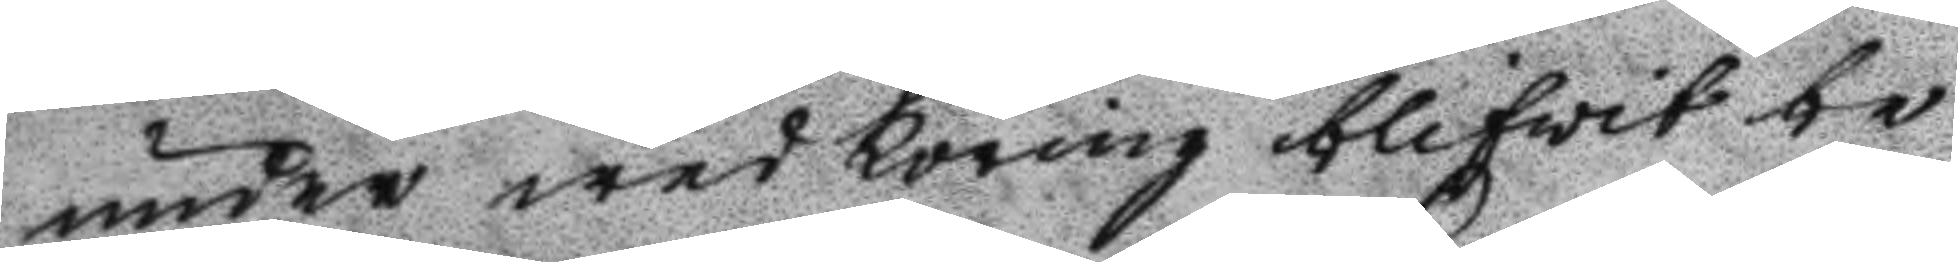under wed körning blifvit be¬
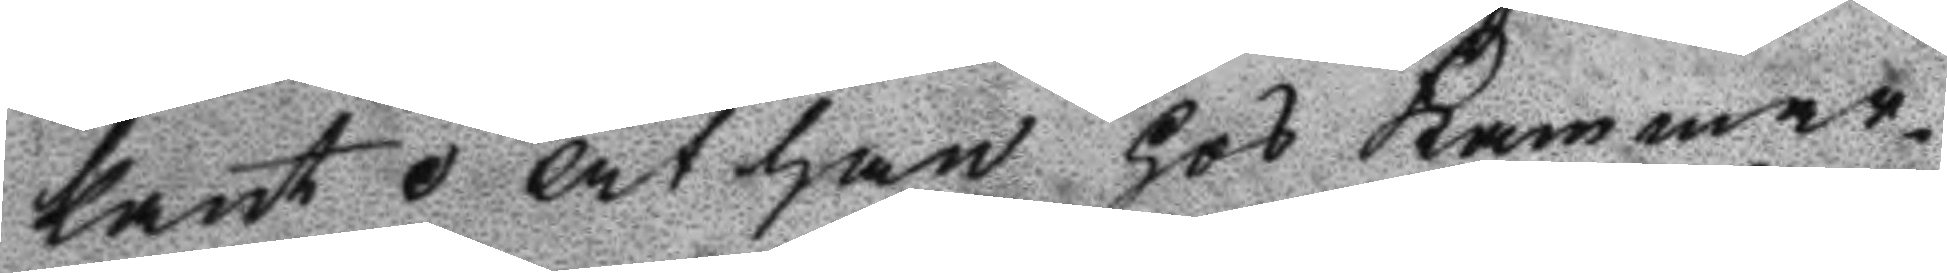kant. At han hos Kammar¬
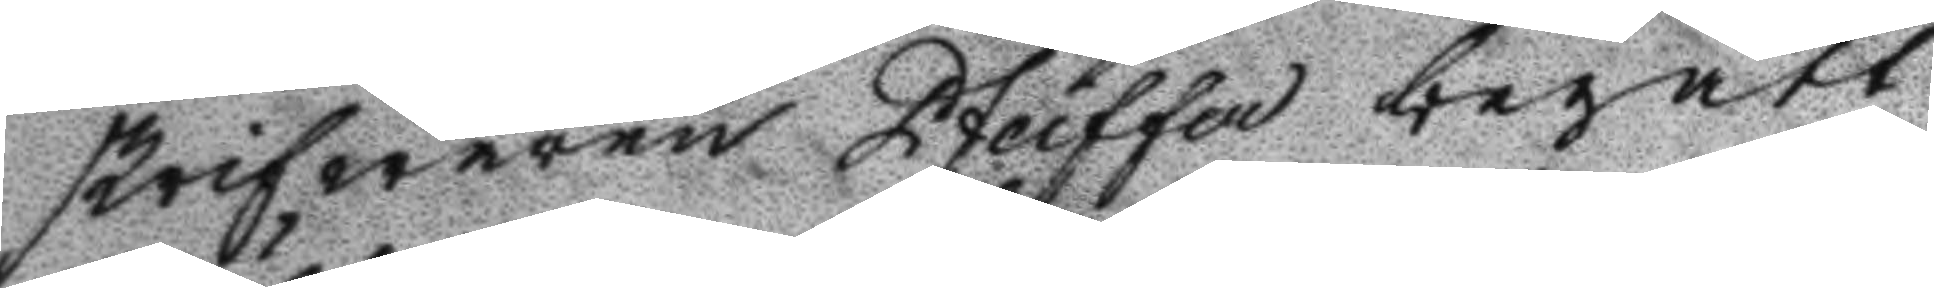skrifwaren Pfeiffer begått
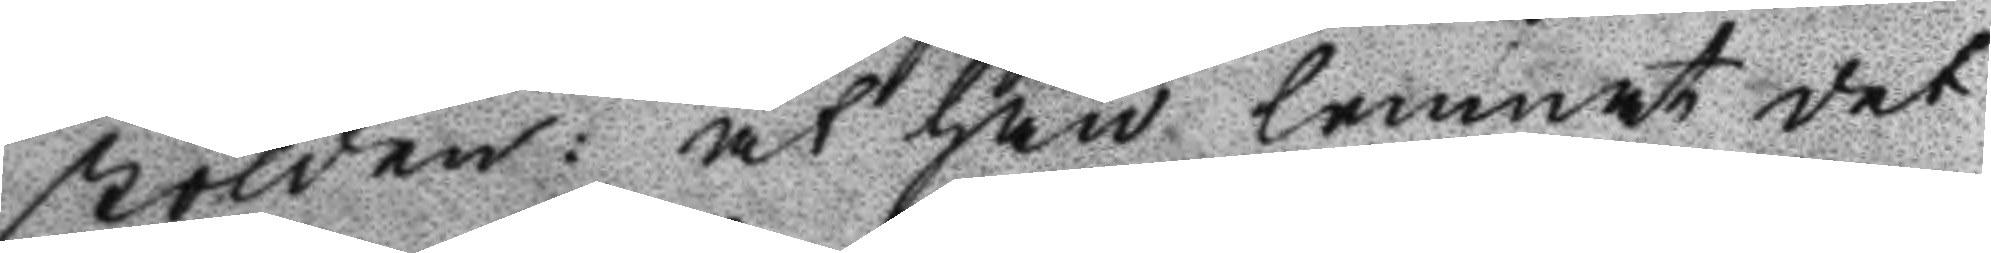stölden: at han lemnat det
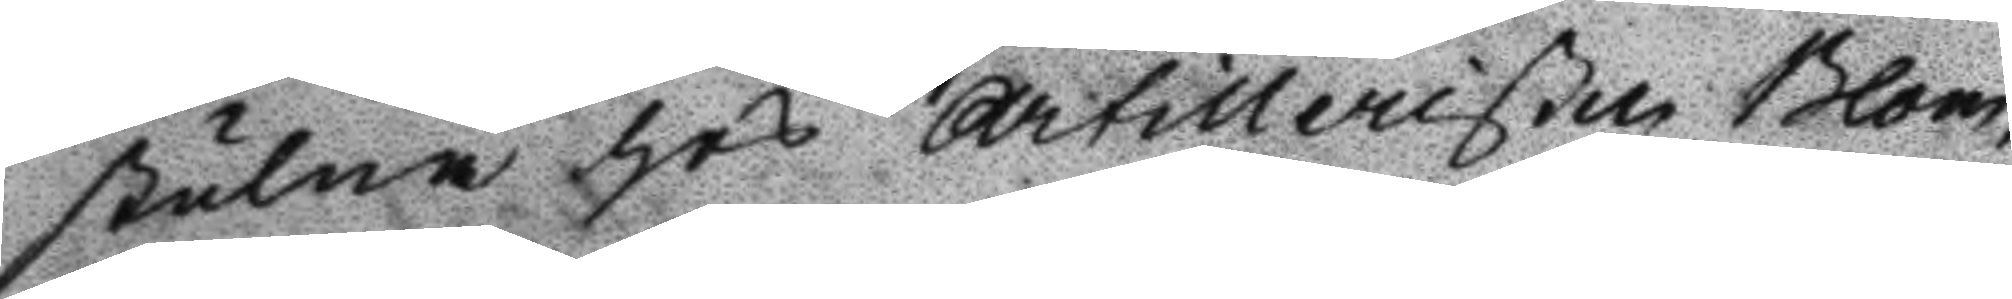stulna hos Artilleristen Blom¬
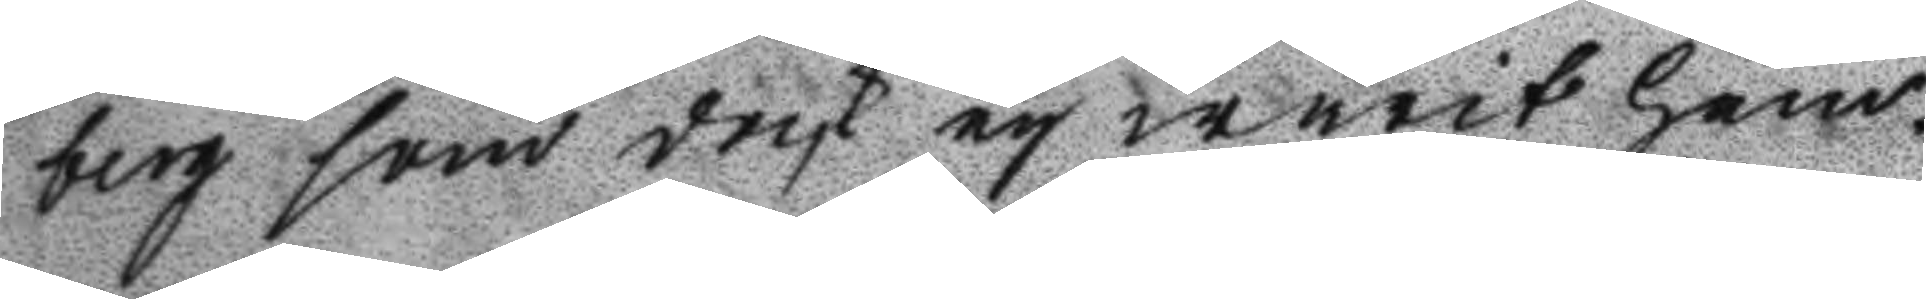berg som dock ey warit hem¬
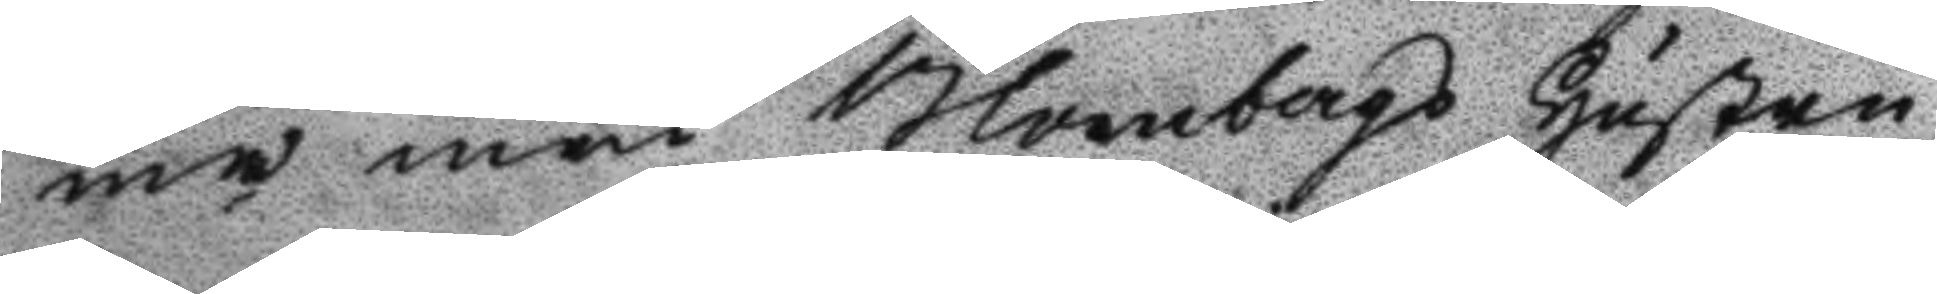ma men Blombergs Hustru
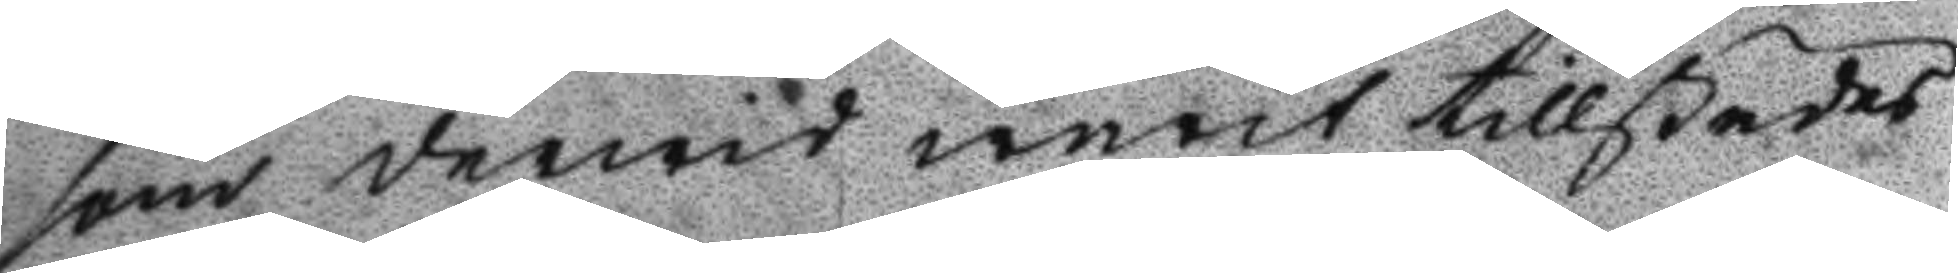som derwid warit tillstädes
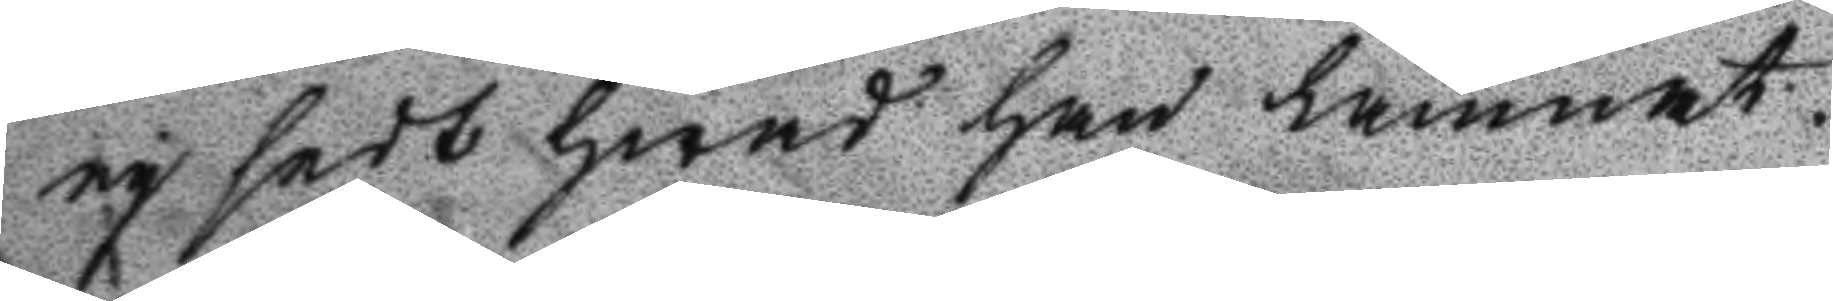ey sedt hwad han lämnat.
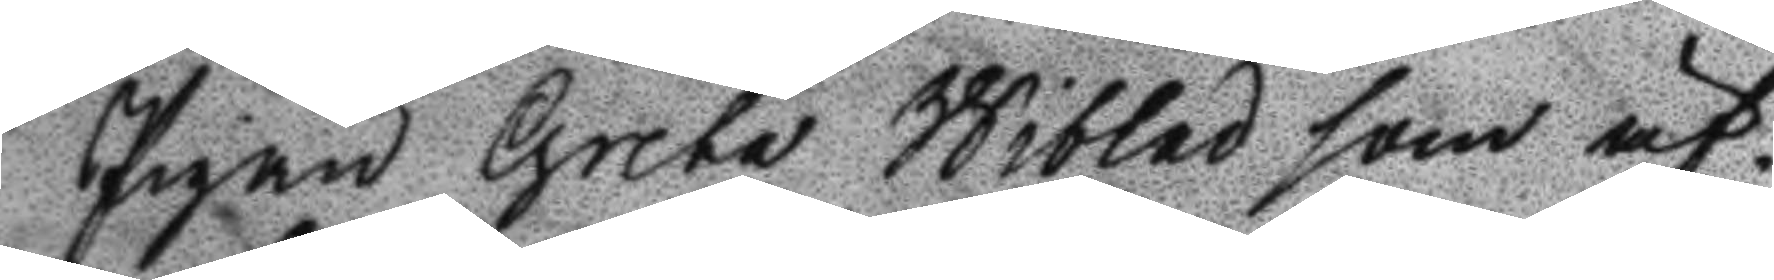Pigan Greta Wiblad som äf¬
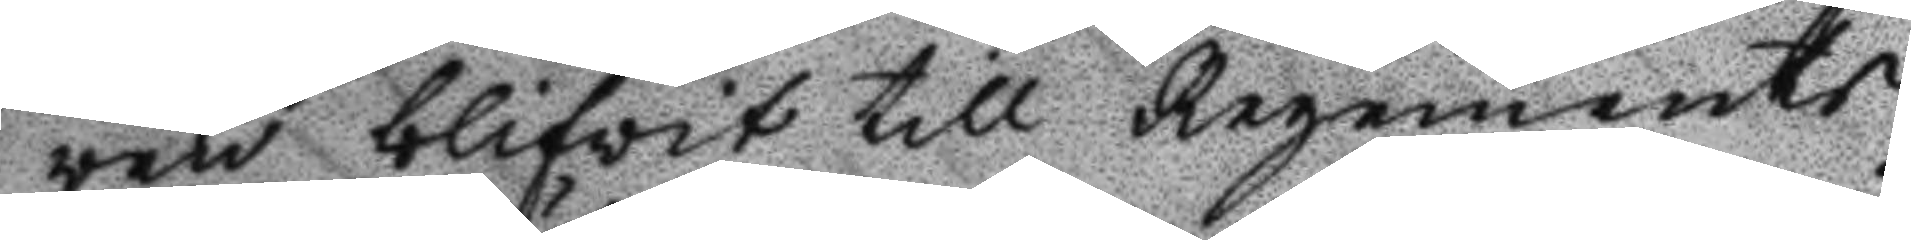ven blifvit till Regements
